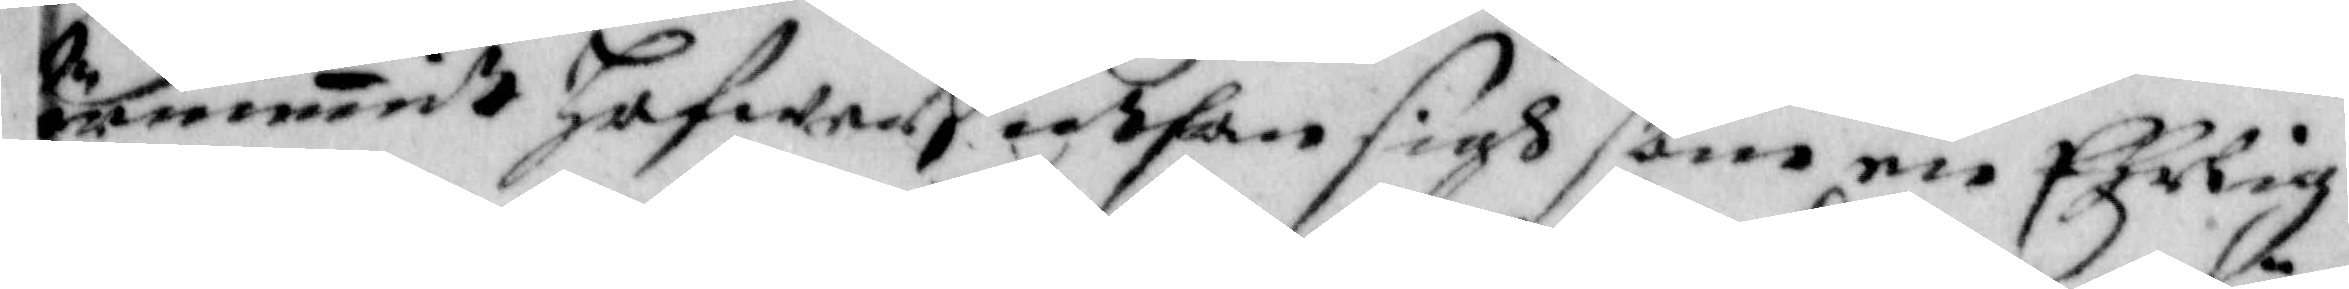örnummit hafwer, uthan sigh som en Ehrlig
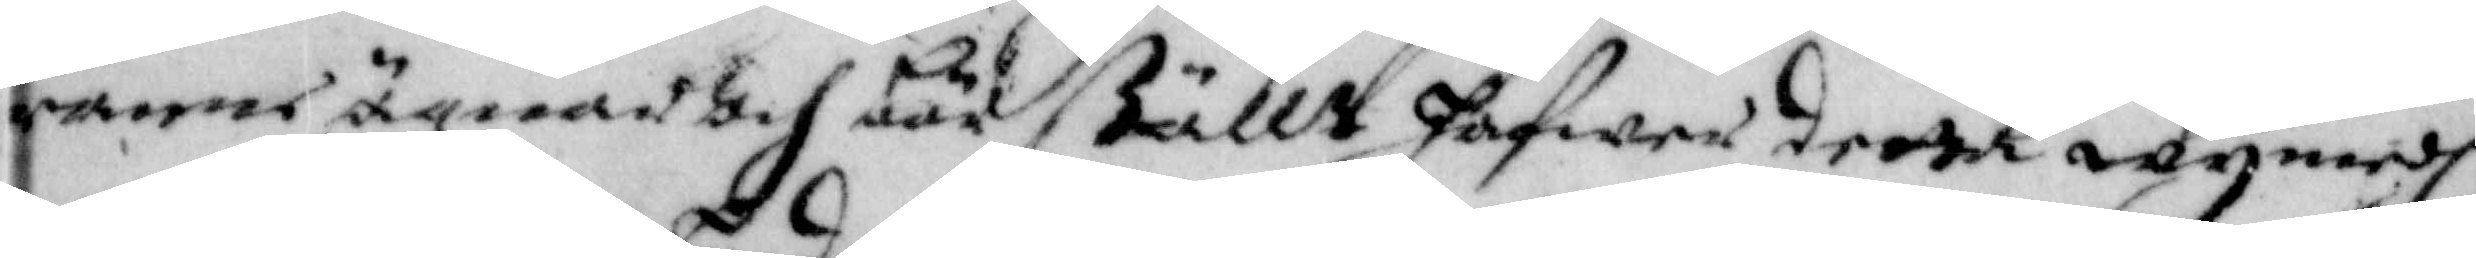kranne ägnar och bör ställt hafwer detta wij medh
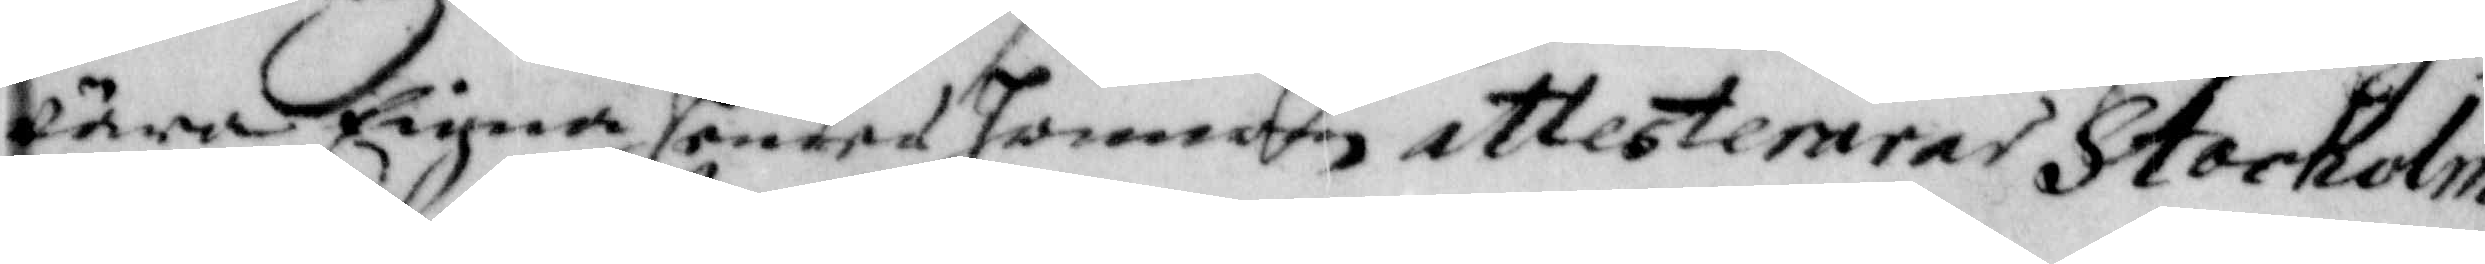åra Eigna hender Honnom attesterar Stockolm
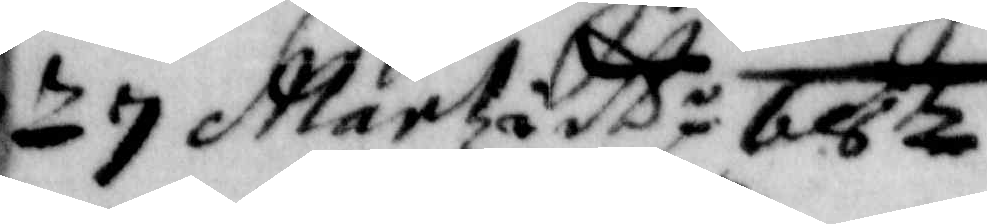n 7 Martzi A.o 682
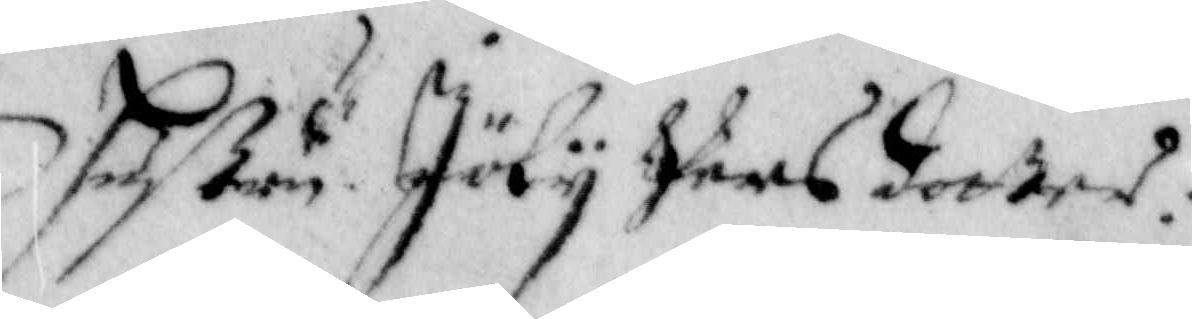Hustru Jölij Pers dotter:
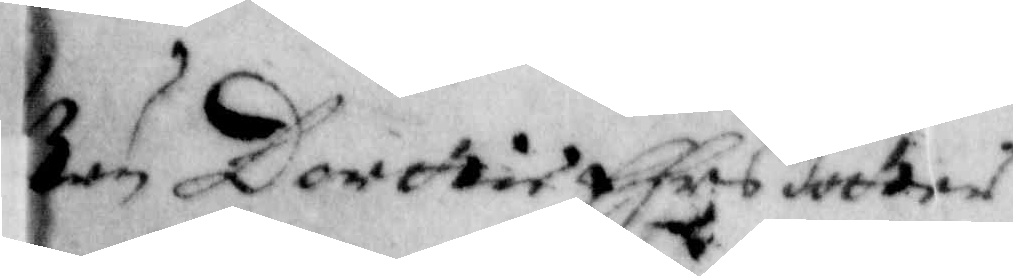tru Dorttie Ehrs dotter
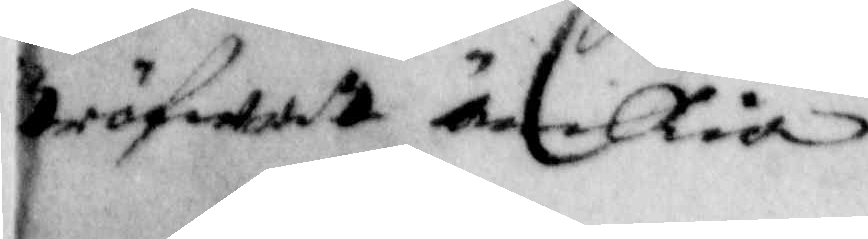tröfwat Änckia
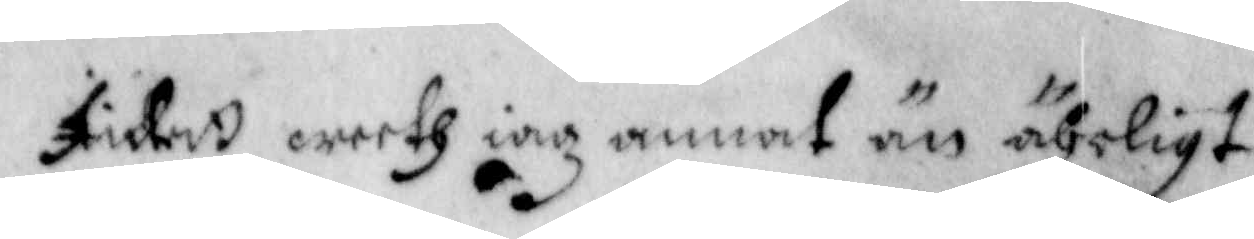Intett weeth iag annat än ährligt
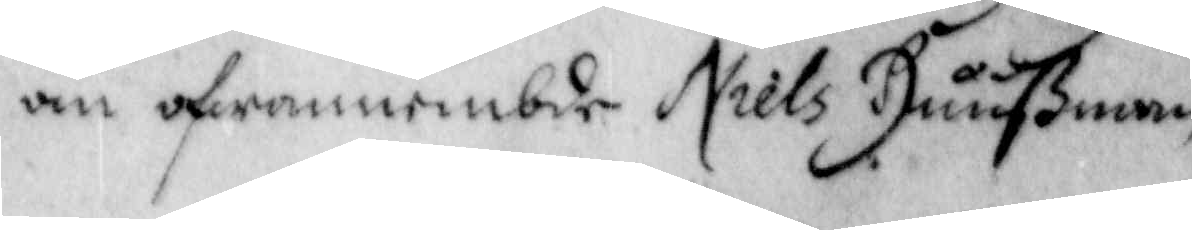om ofwannembde Niels Huußman
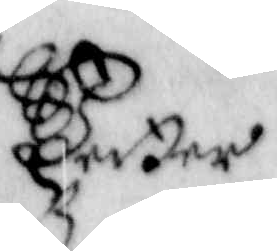Petter
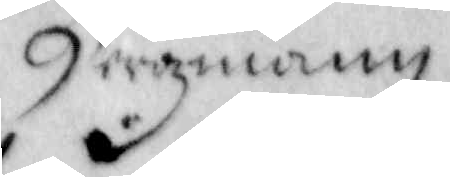Bergmann
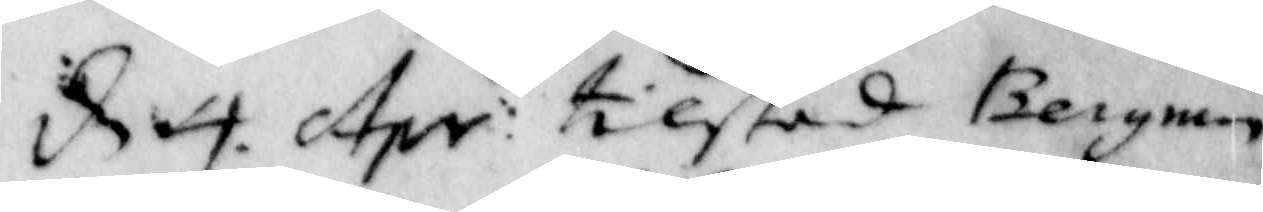d. 4. Apr: tilstod Bergman
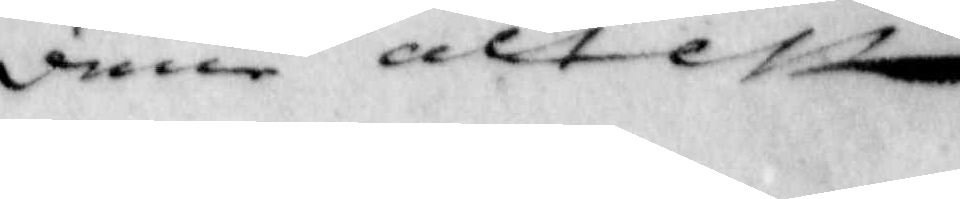dene attest.
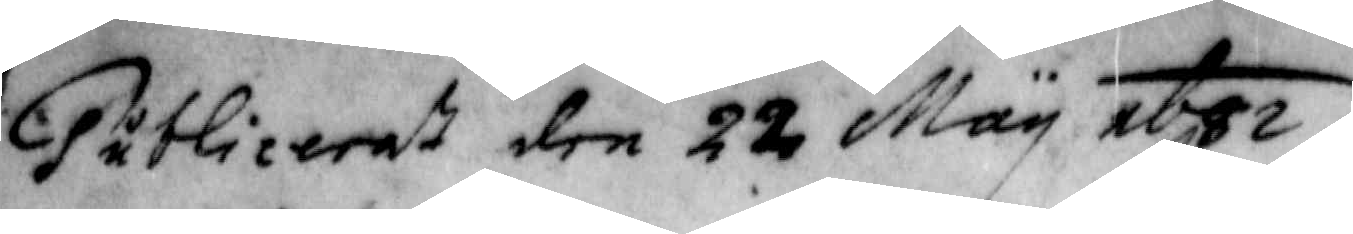publiceraV den 22 May 1682.
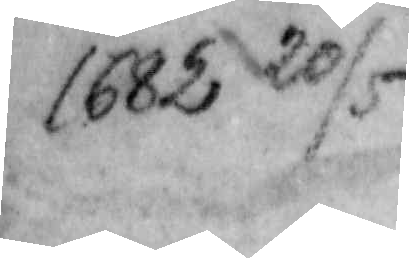1682 20/5
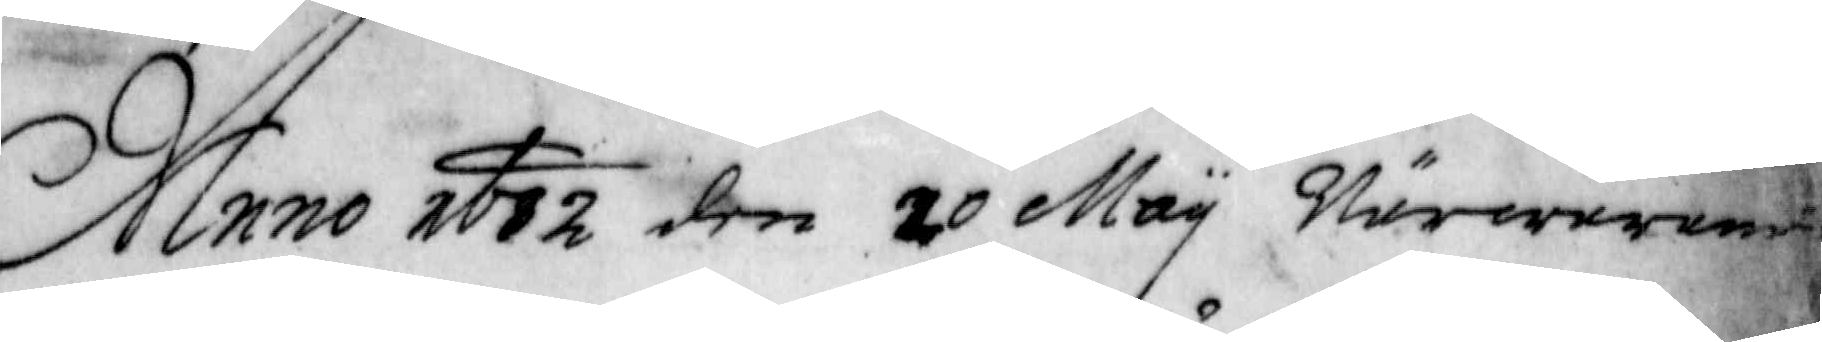Anno 1682 den 20 May Närvarande
